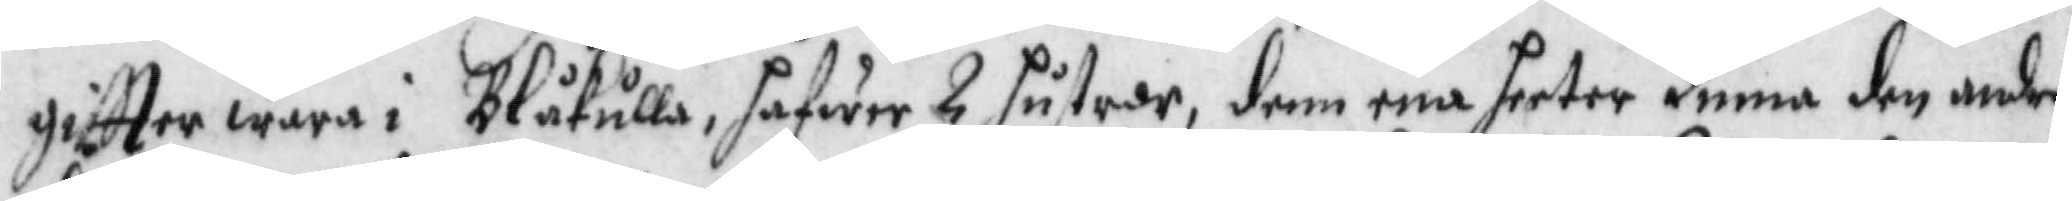giftter wara i Blåkulla, hafwer 2 hustrur, denn ena heeter Linna den andra
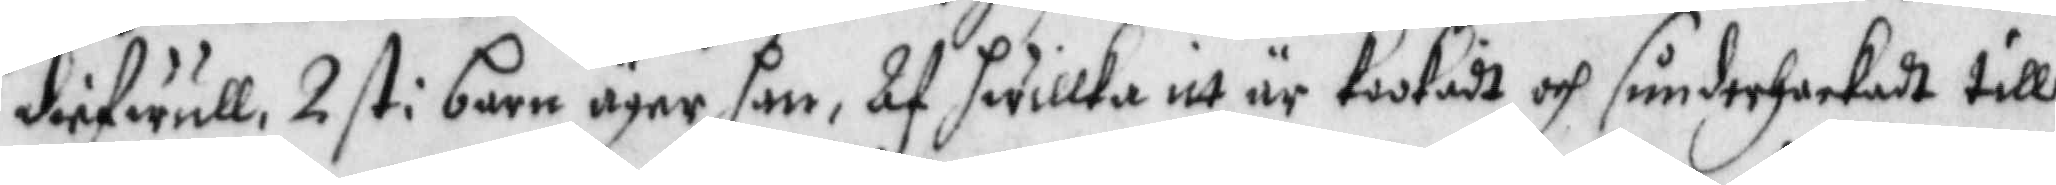diefwull, 2 st: barn äger han, Af hwilka itt är kookadt och sunderhackadt till
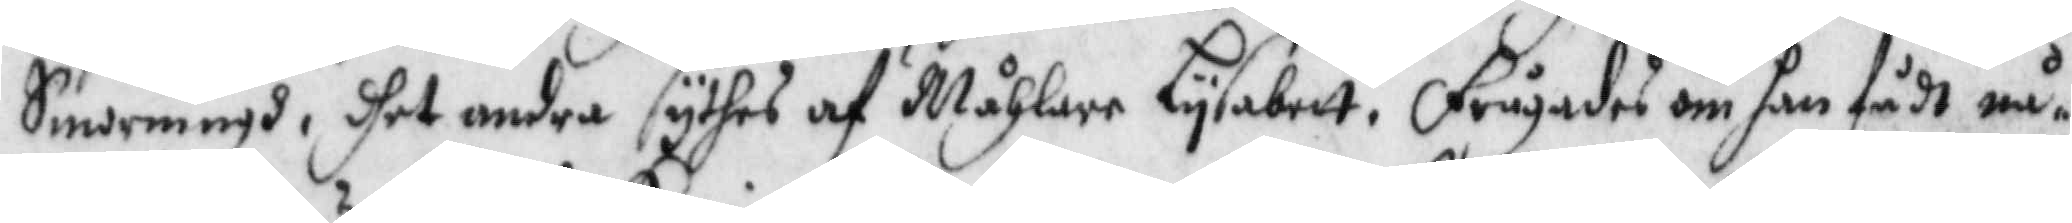Smorningh, dhet andra sythes af Måhlar Lysabett. frågades om han fådt nå¬
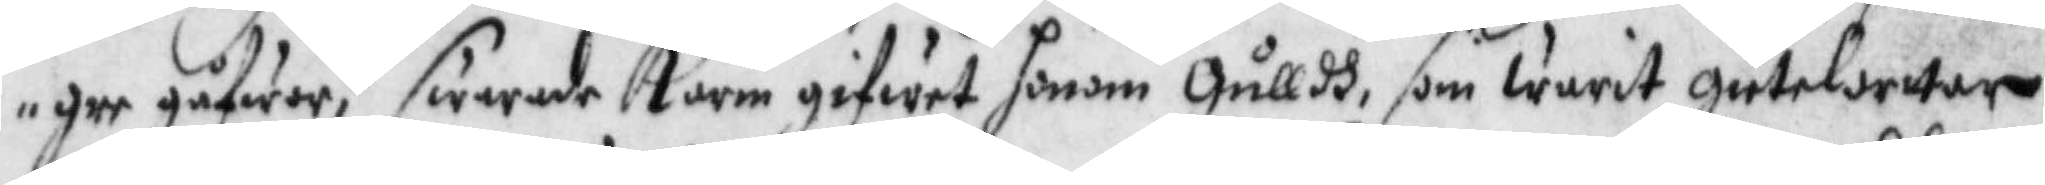gre gåfwor? swarade Karin gifwit honom Gulldh som warit gietelorttar
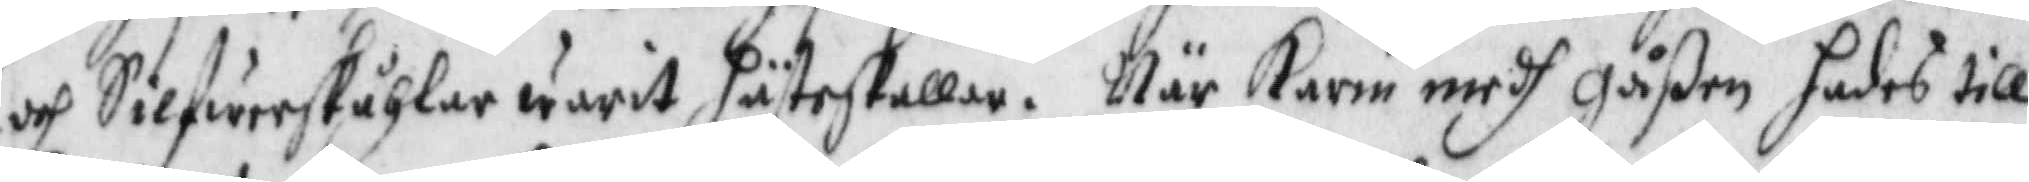och Silfwerskåhlar warit hästeskallar. När Karin medh gåßen hades till
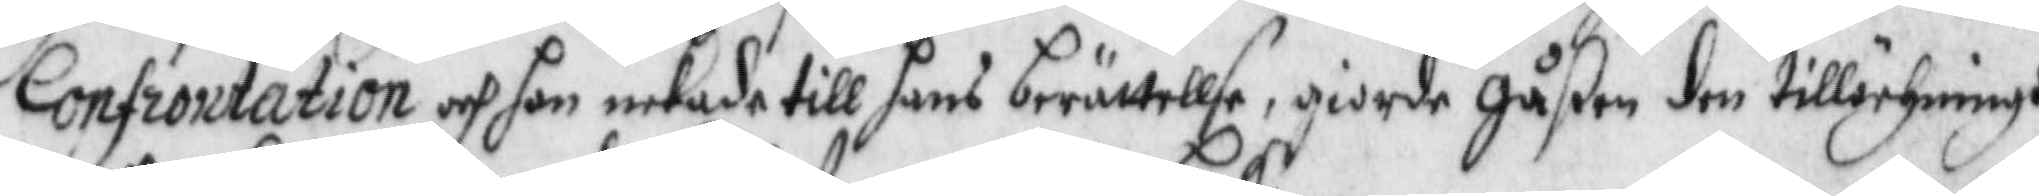Confrontation och hon nekade till hans berättellse, giorde gåßen den tillörhningh
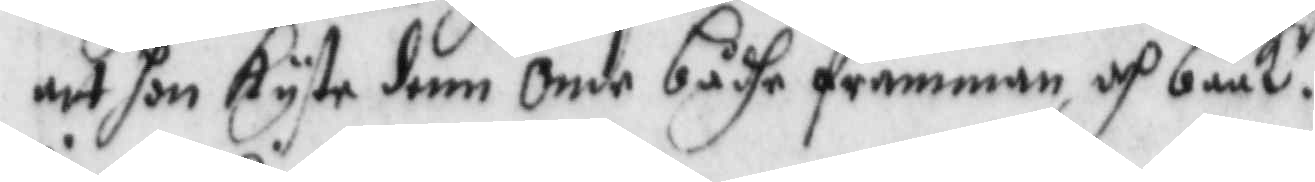att hon kyste denn onde bådhe framman och back.
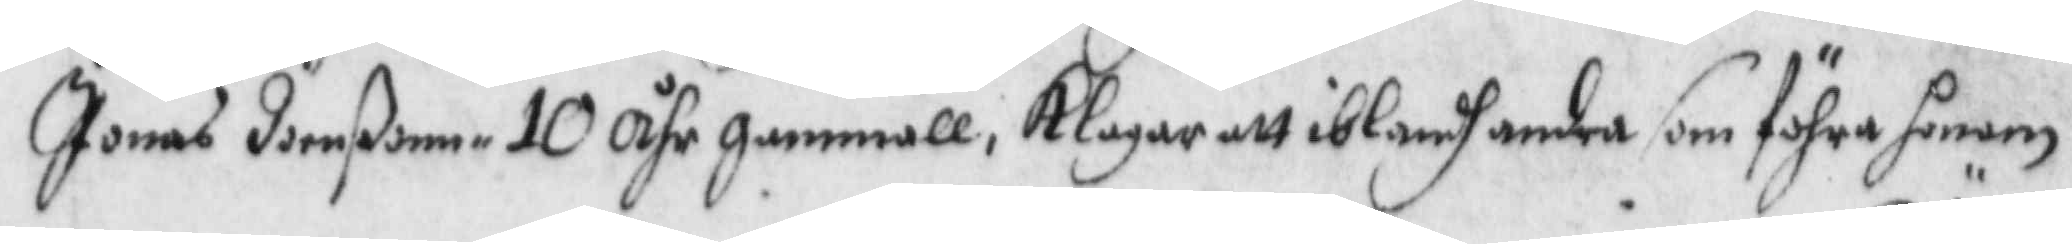Jonas Joenßonn 10 åhr gammall, Klagar att iblandh andra som föhra honom 
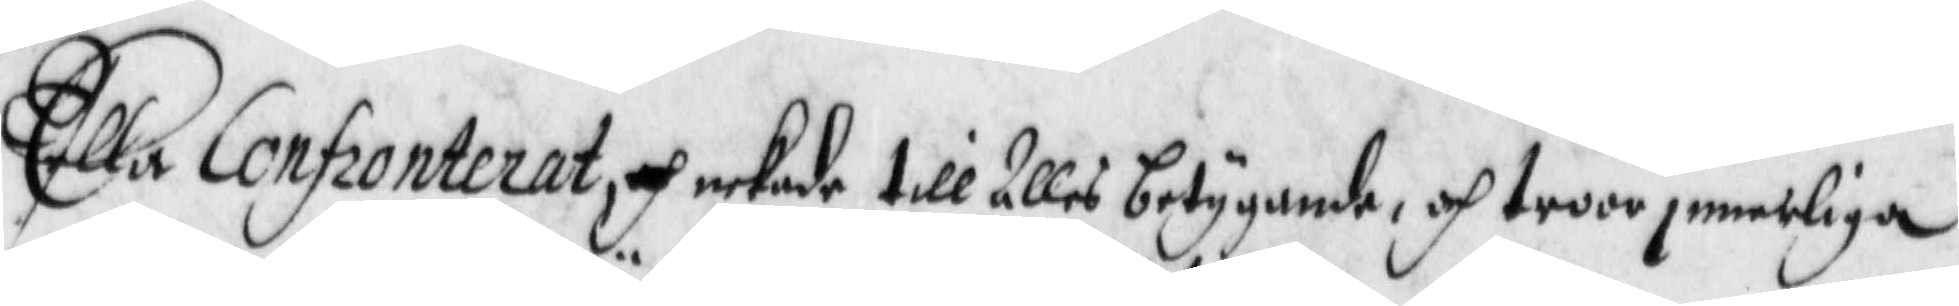Ella Confronterat, och nekade till Alles betygande, och troor jemerliga
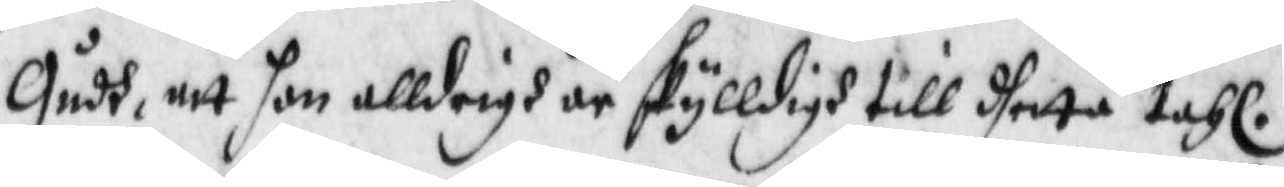Gudh, att hon alldrigh är skylldigh till dhetta tahl.
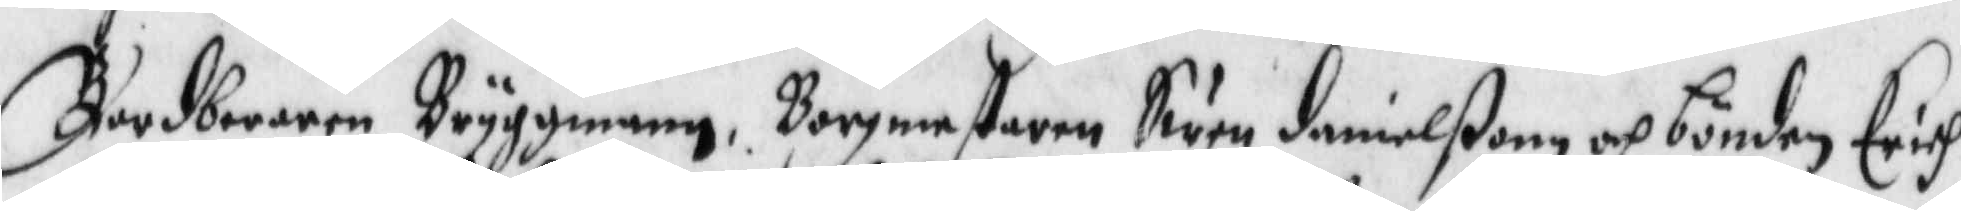Bardberaren Bryggmann, Borgmestaren Swen danielßon och bönden Erich
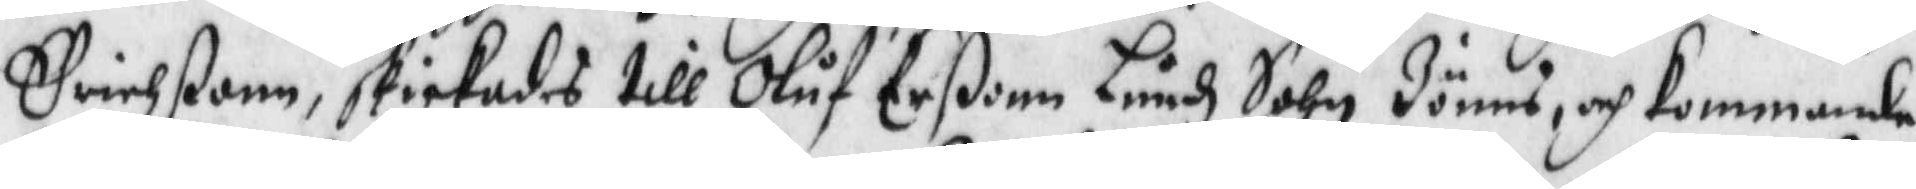Erichßonn, skickades till Oluf Erßon Lundh Shn Jönns, och kommande
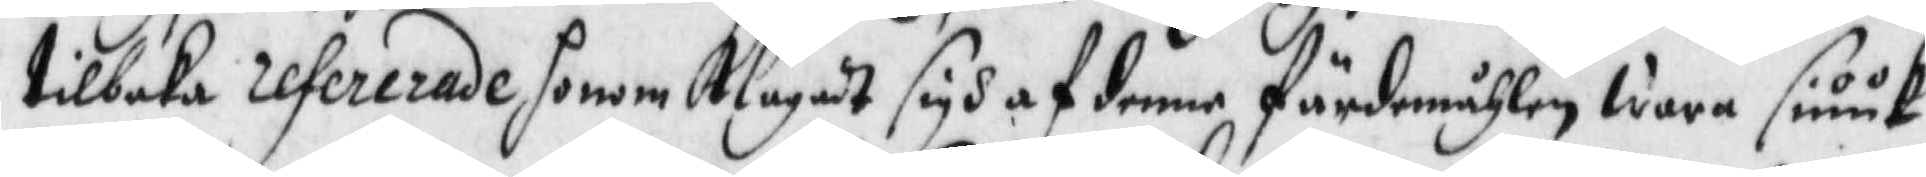tilbaka refererade honom Klagadt sigh af denne förmiddagen wara siuuk
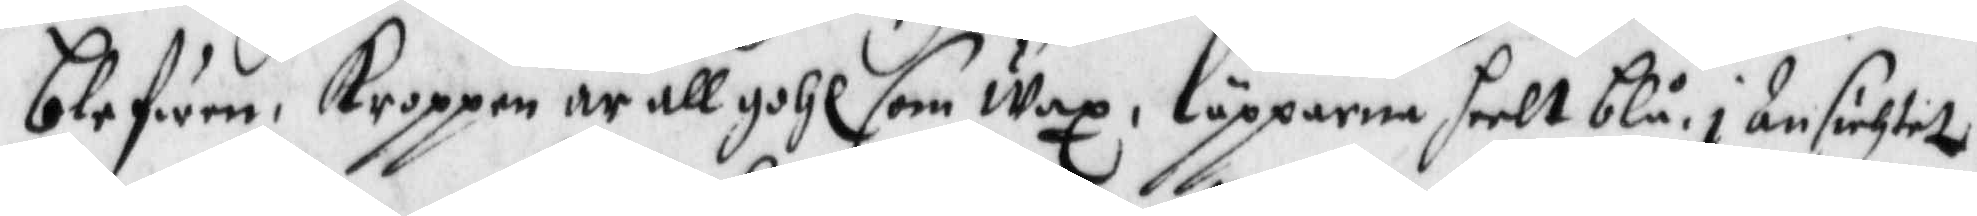blefwen, Kroppen är all gohl som Wax, läpparna heelt blå, i Ansiktet
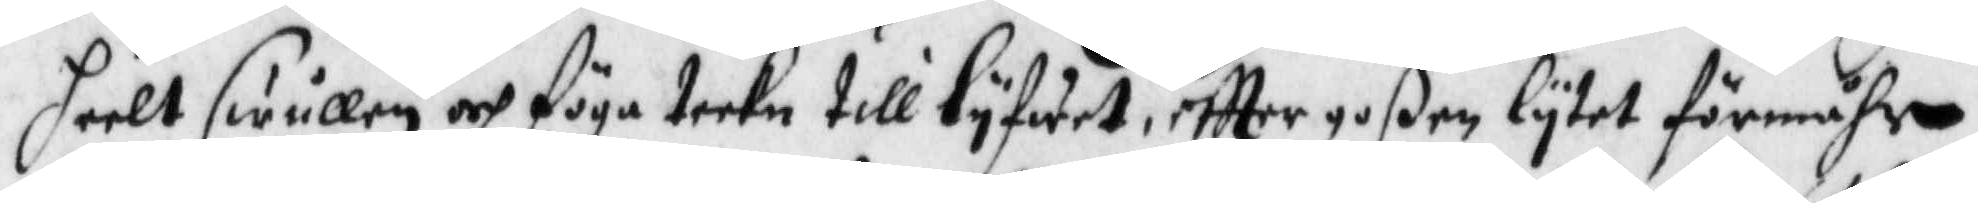heelt swullen och föga teekn till lyfwet, eftter goßen lytet förmåhr
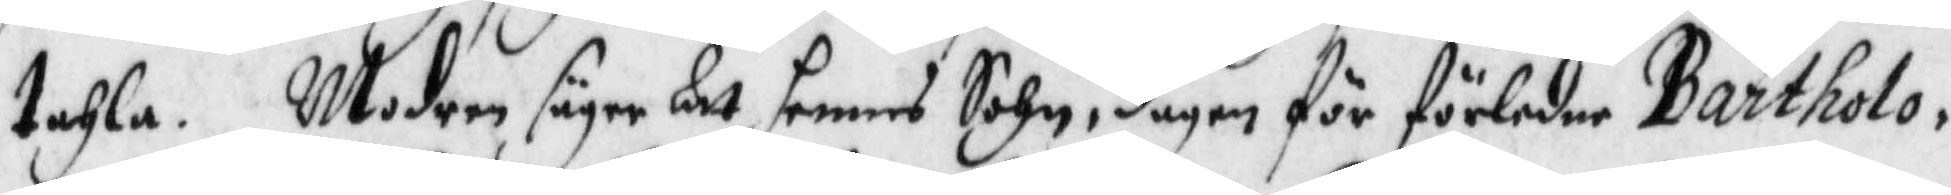tahla. Modren säger At hennes Sohn, dagen för förledne Bartholo¬
